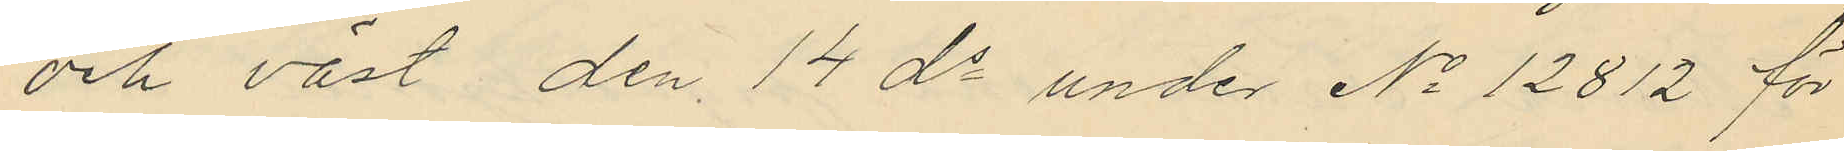och väst den 14 ds under No 12812 för
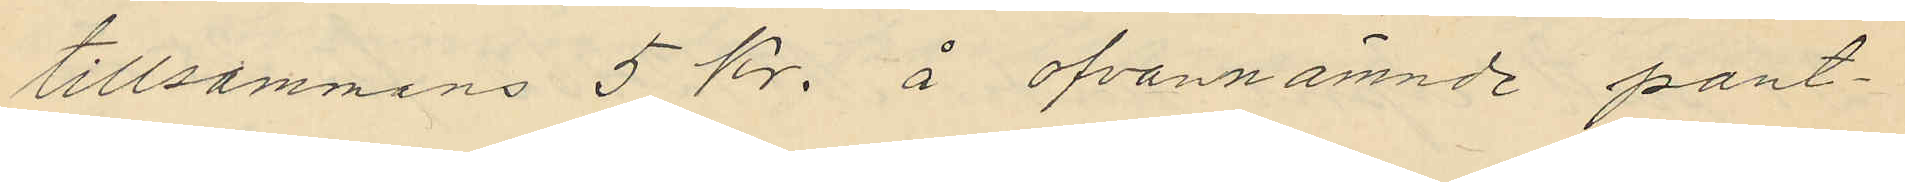tillsammans 5 kr. å ofvannämnde pant¬
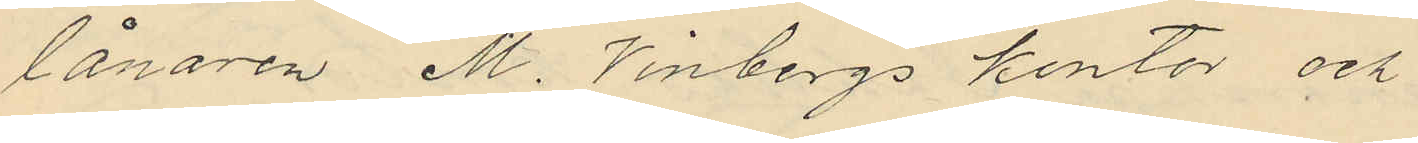lånaren M. Vinbergs kontor och
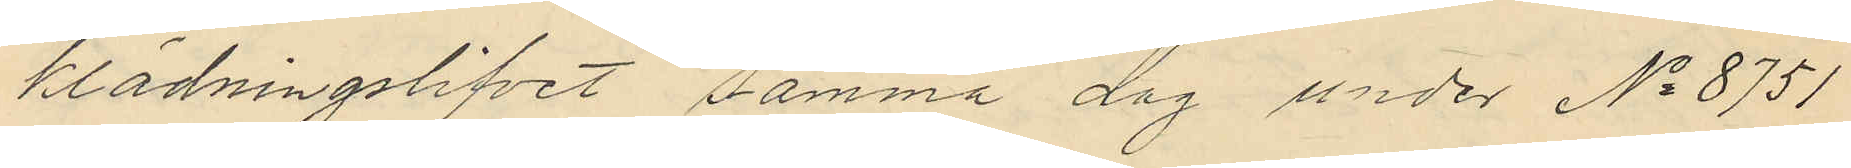klädningslifvet samma dag under No 8751
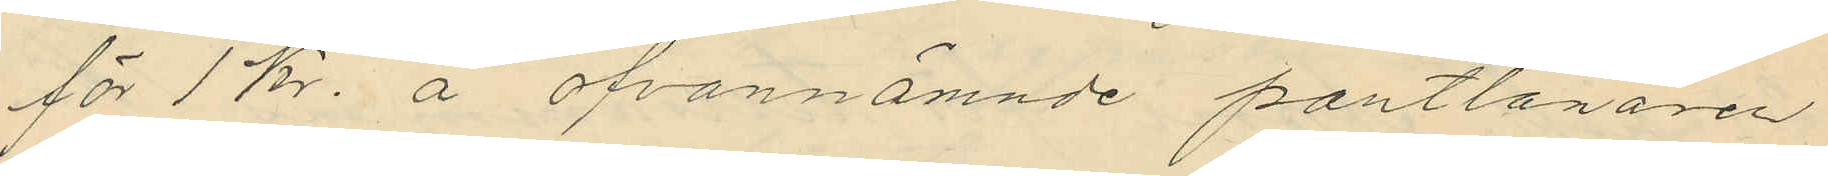för 1 kr. å ofvannämnde pantlånaren
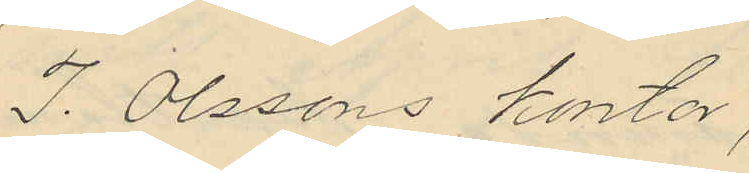J. Olssons kontor,
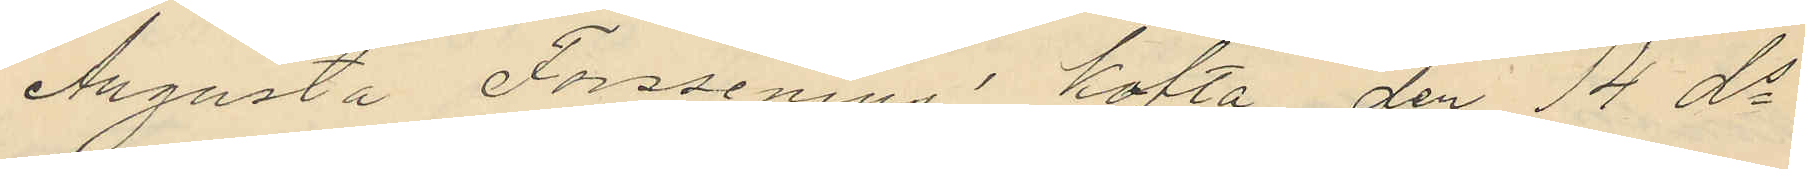Augusta Forssenius kofta den 14 ds
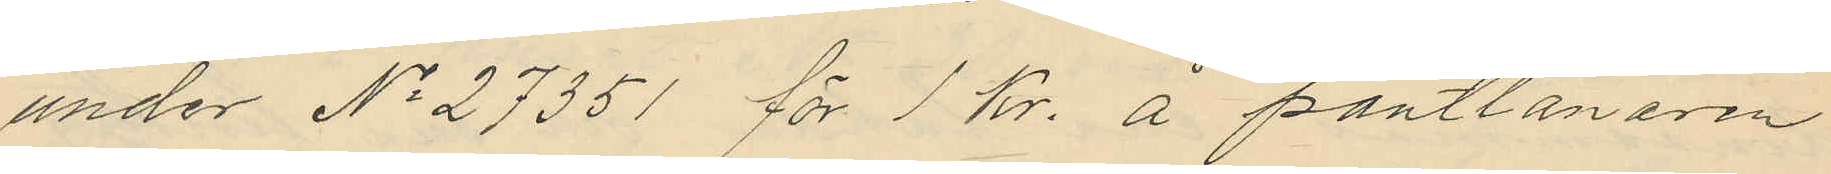under No 27351 för 1 kr. å pantlånaren
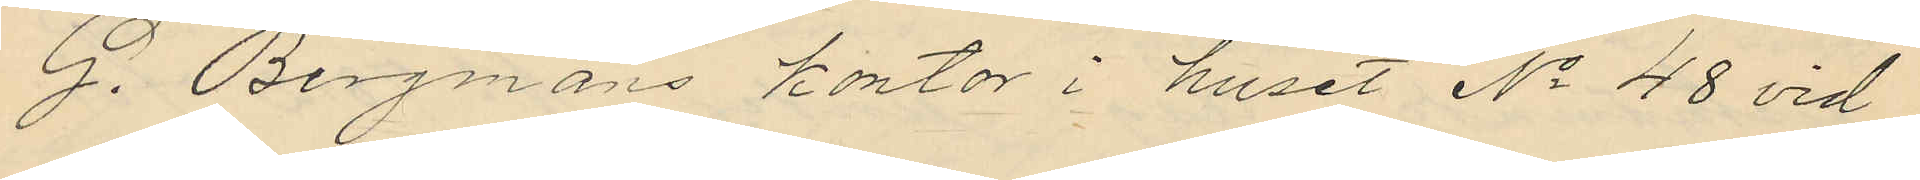G. Bergmans kontor i huset No 48 vid
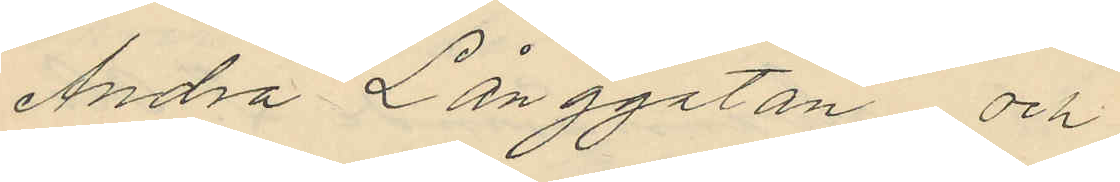Andra Långgatan och
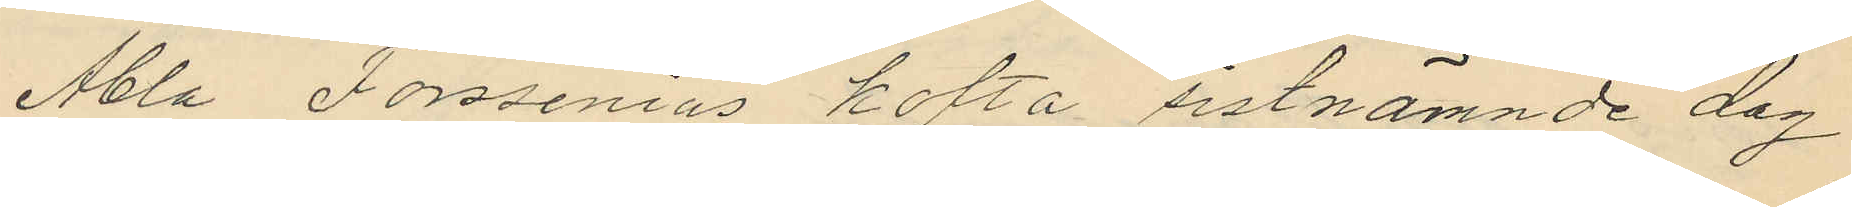Abla Forssenius kofta sistnämnde dag
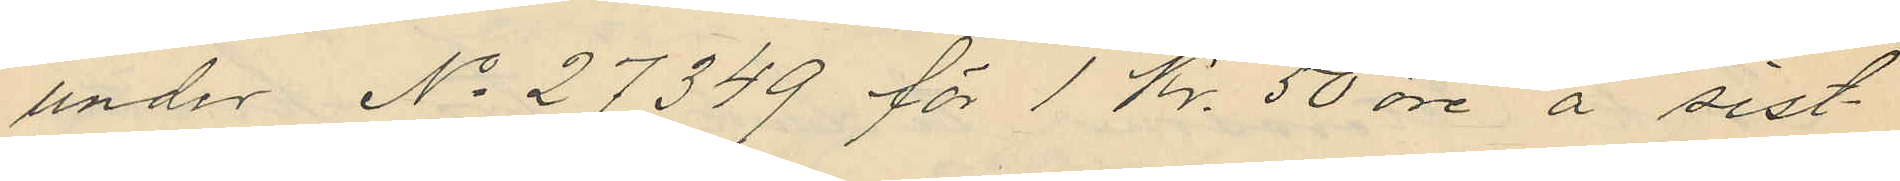under No 27349 för 1 Kr. 50 öre å sist¬
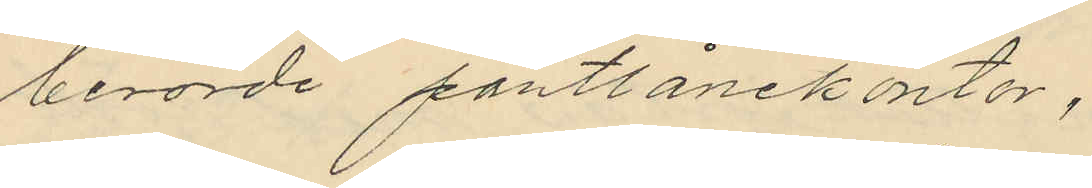berörde pantlånekontor,
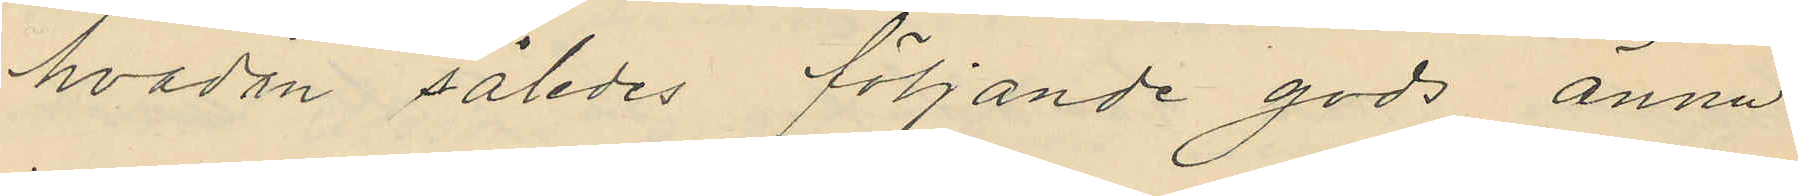hvadan således följande gods ännu
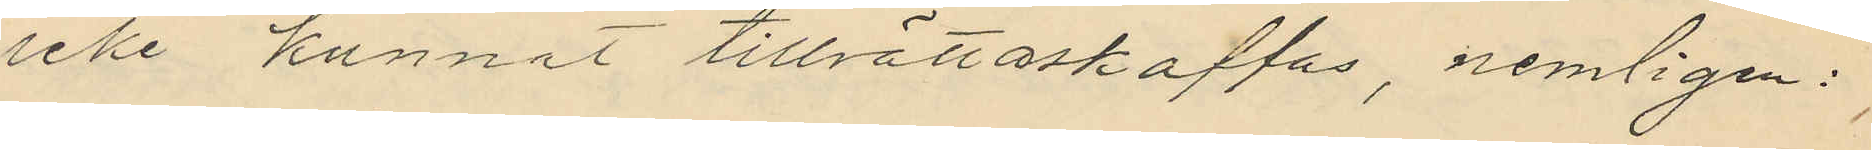icke kunnat tillrättaskaffas, nemligen:
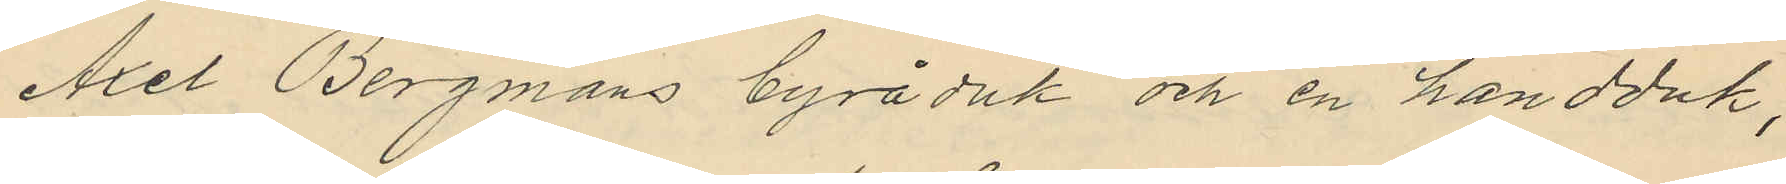Axel Bergmans byråduk och en handduk,
